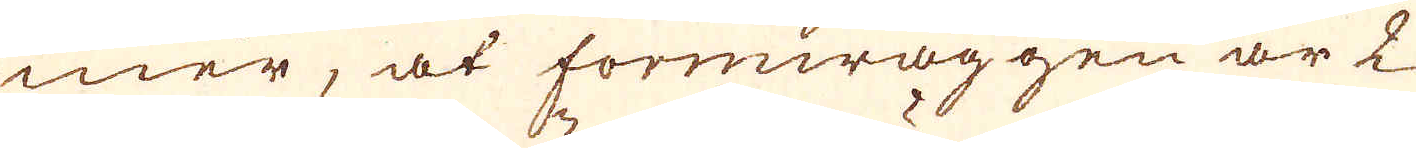mer, at formwäggen är 2
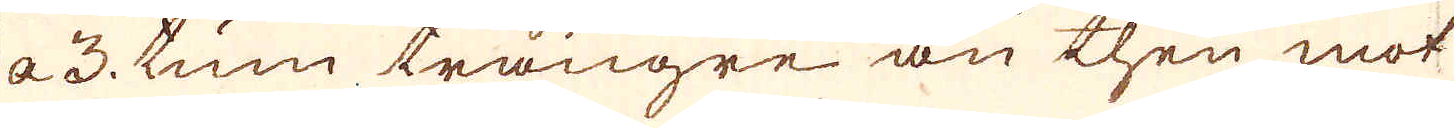à 3. tum trängre än then mot
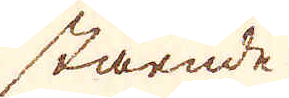stående
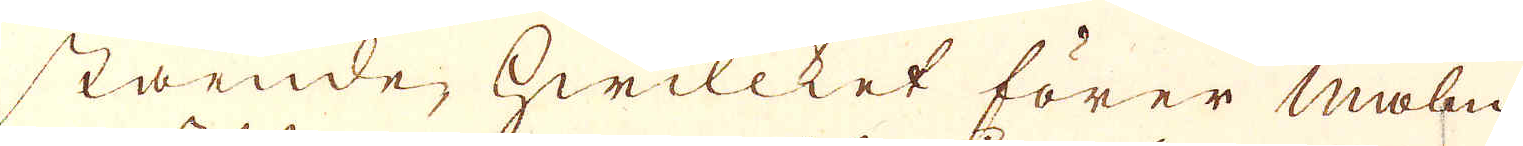stående, hwilcket förer malm
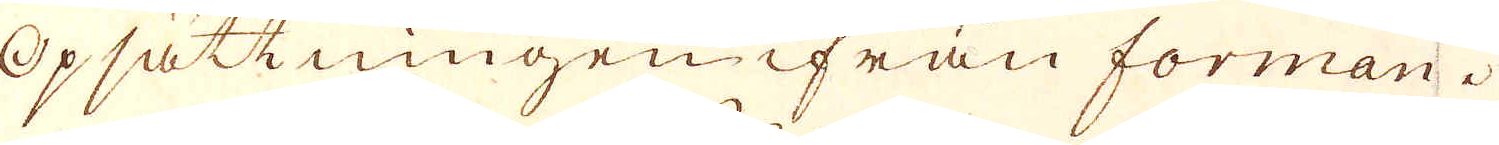Opsättningen ifrån forman.
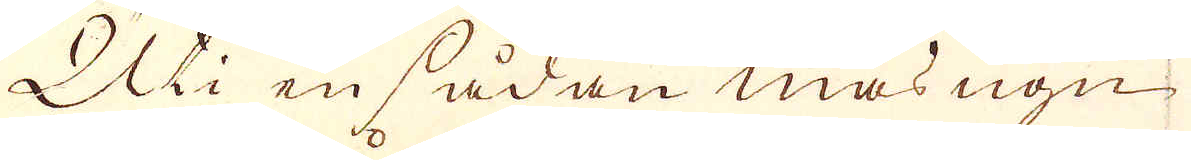Uti en sådan masugn
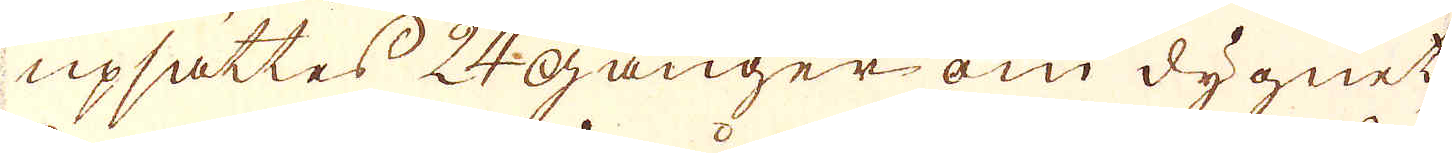upsättes 24 gånger om dygnet,
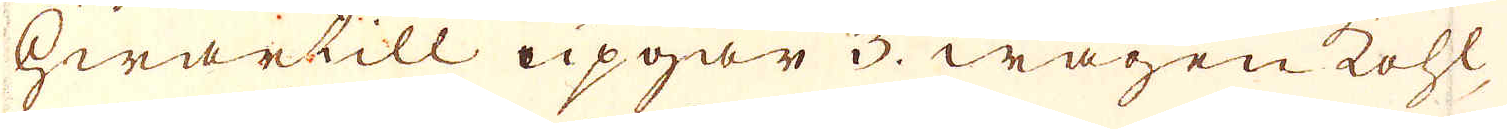hwartill opgår 3. wagen Kohl
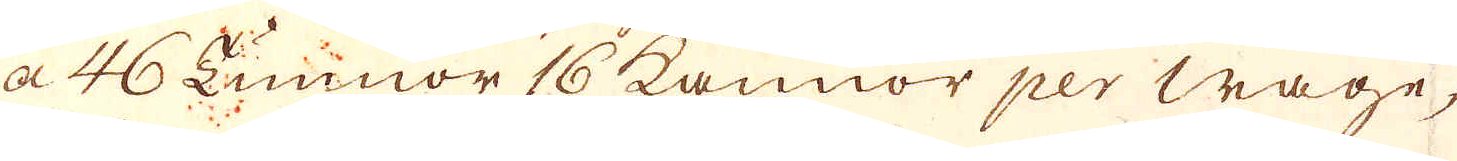a 46 Tunnor 16 kannor per wagn,
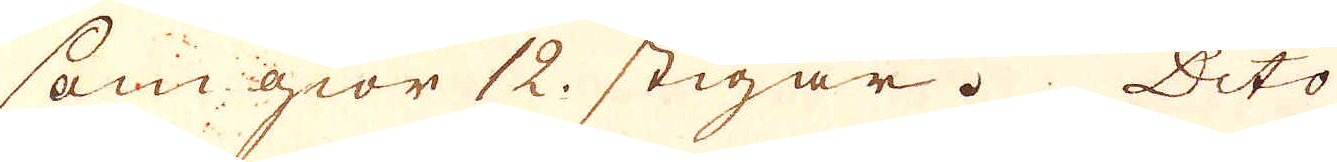som giör 12. stigar. Dito
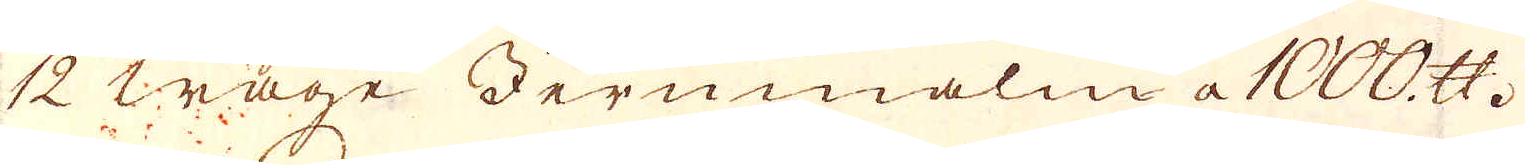12 wage Jernmalm a 1000 skålpund.
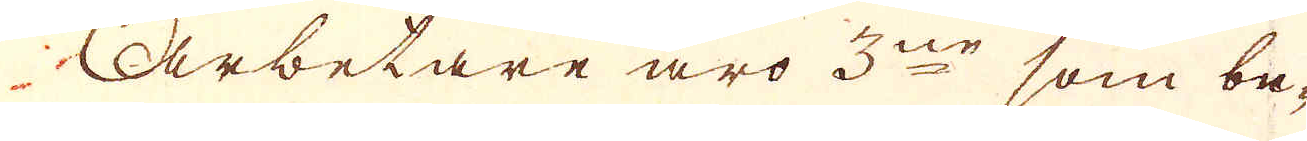Arbetare äro 3ne som be-
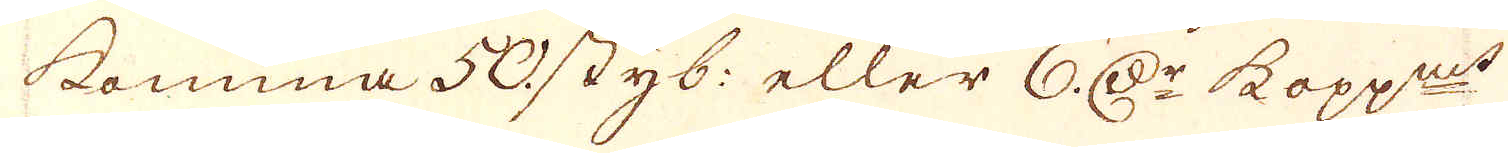komma 50. styb: eller 6 D:r kopp:mt
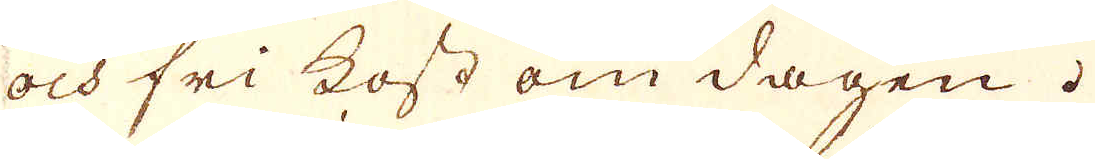och fri kost om dagen.
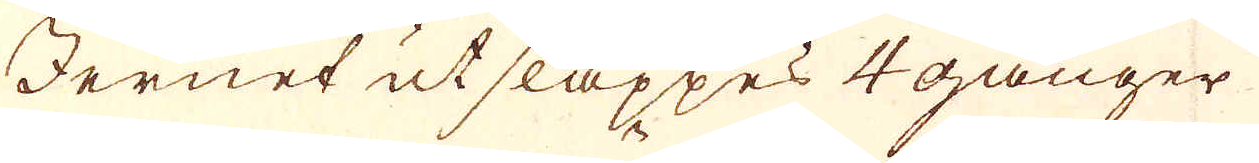Jernet utsläppes 4 gånger
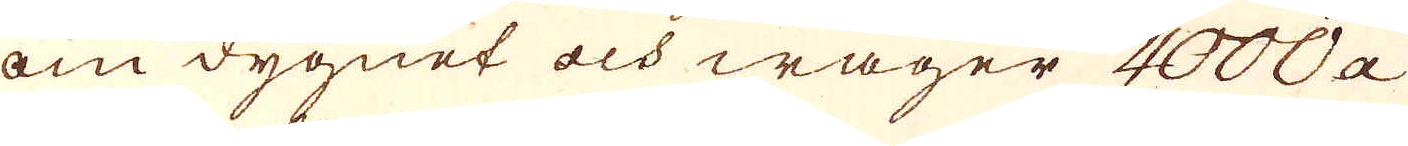om dygnet och wäger 4000 a
